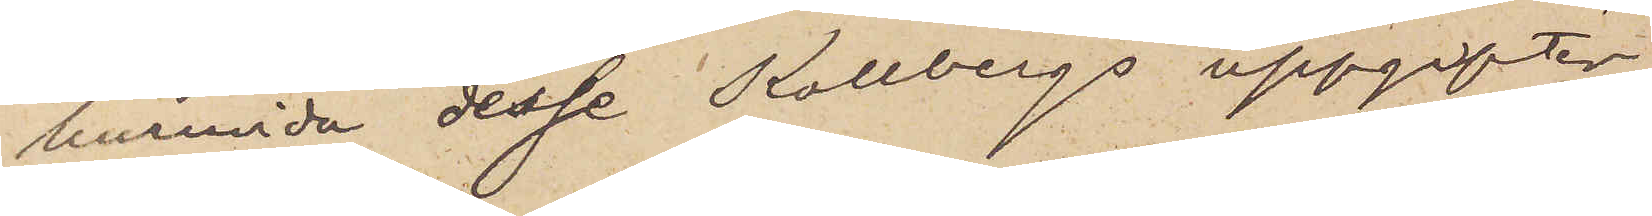huruvida desse Kollbergs uppgifter
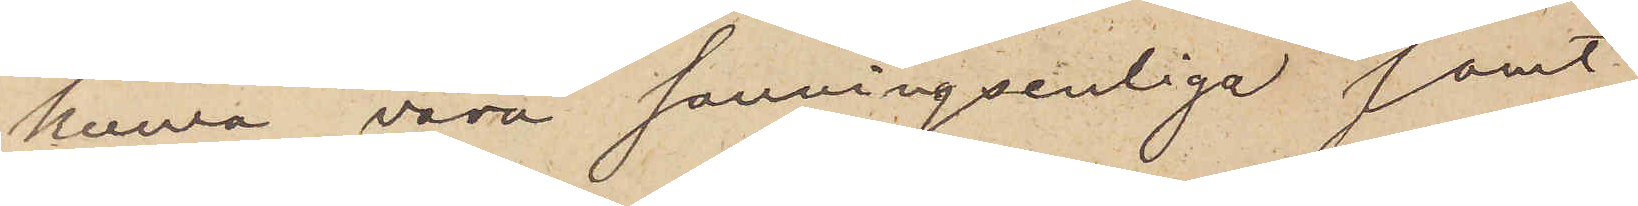kunna vara sanningsenliga samt,
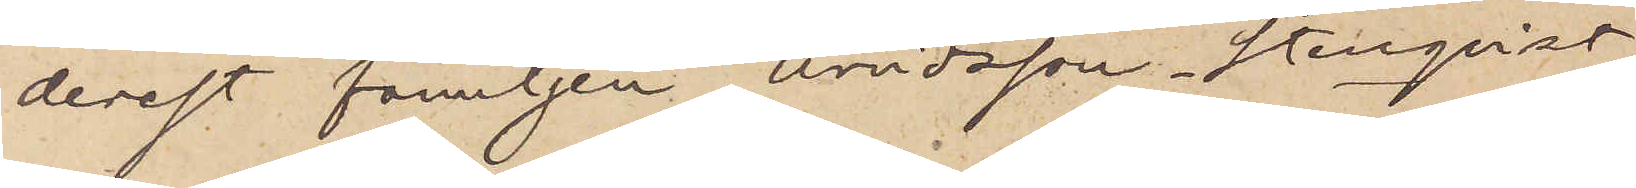derest familjen Arvidsson Stenqvist
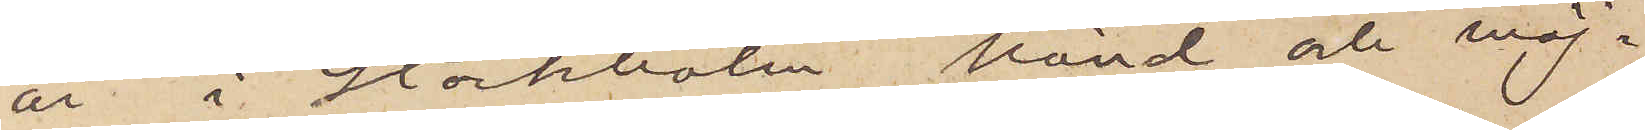är i Stockholm känd och möj¬
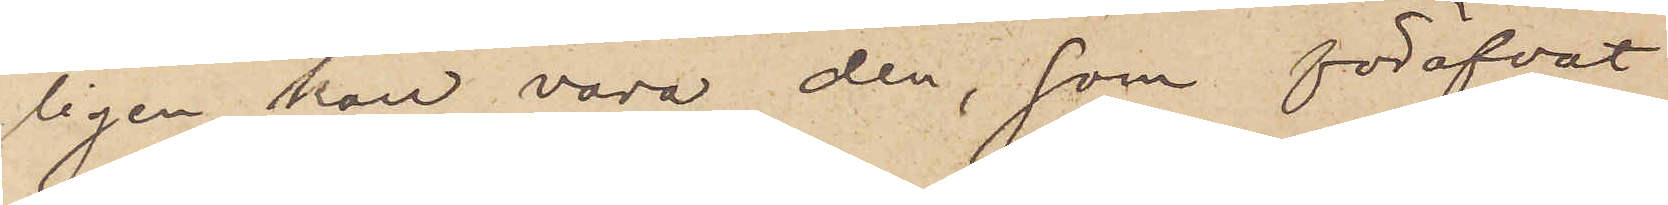ligen kan vara den, som föröfvat
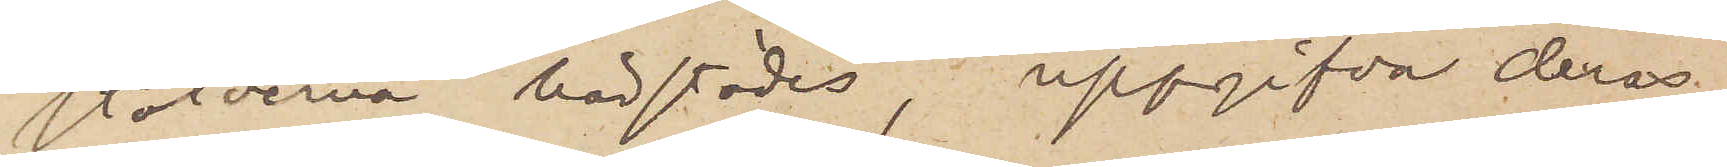stölderna härstädes, uppgifva deras
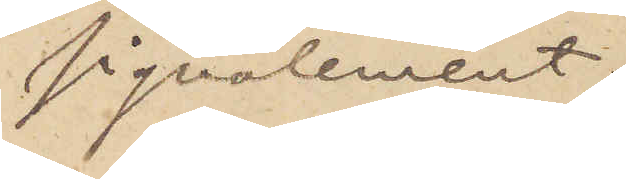signalement.
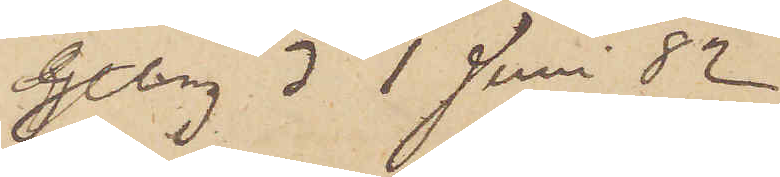Göteborg d 1 Juni 82
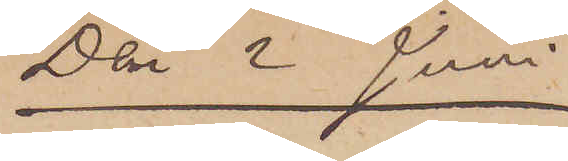Den 2 Juni
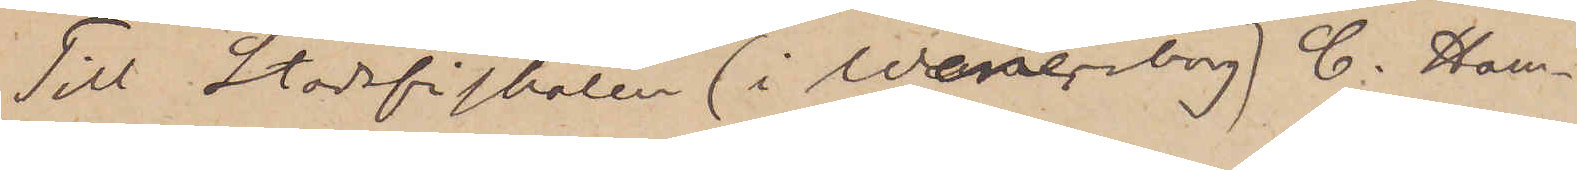Till Stadsfiskalen (i Wenersborg) C. Ham¬
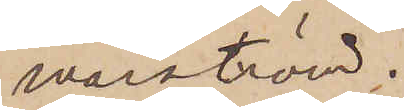marström.
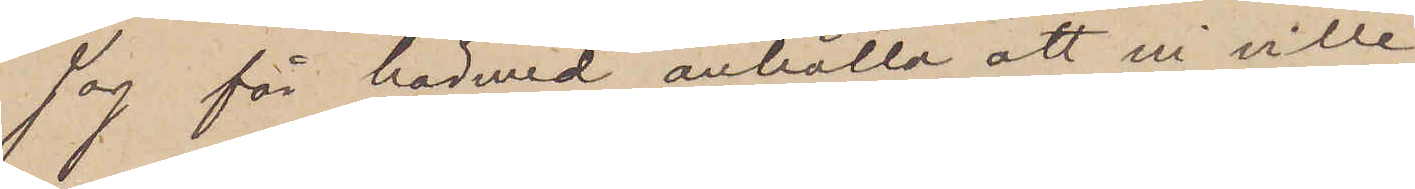Jag får härmed anhålla, att ni ville
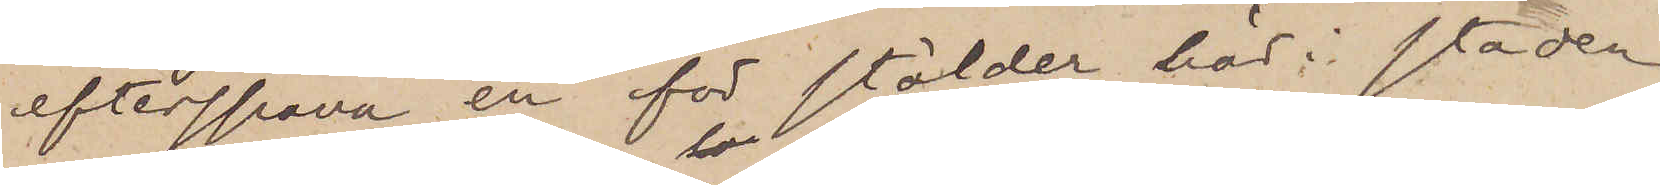efterspana en för stölder här i staden
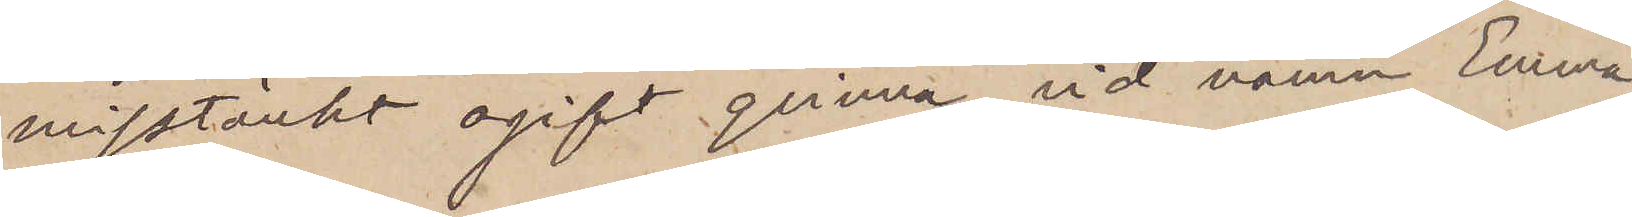misstänkt ogift qvinna vid namn Emma
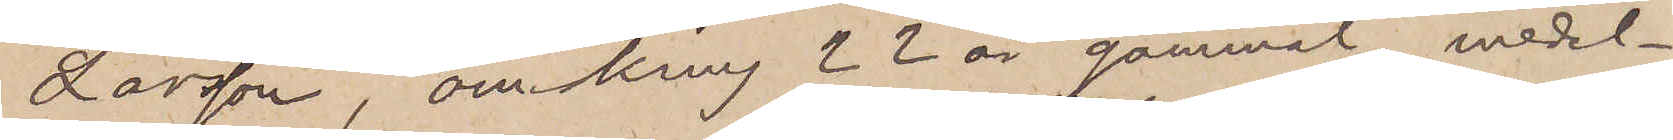Larsson, omkring 22 år gammal, medel¬
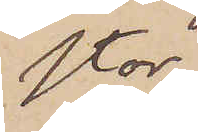stor
